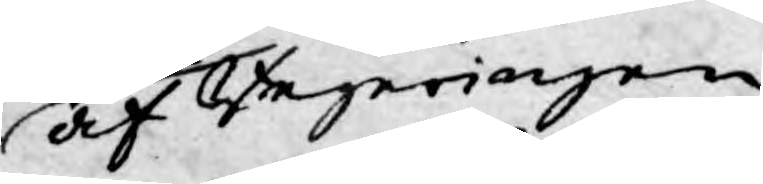af Regeringen
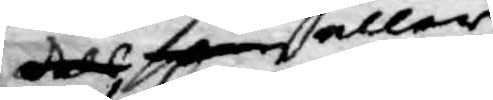dels som eller
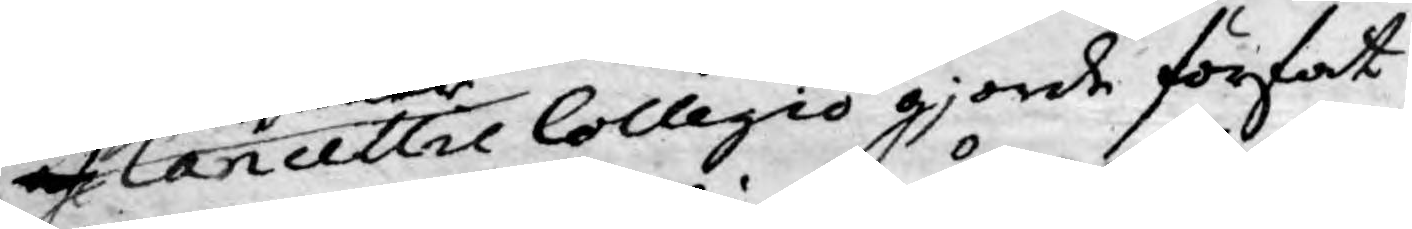af Cancellie Collegio gjorde förfat¬
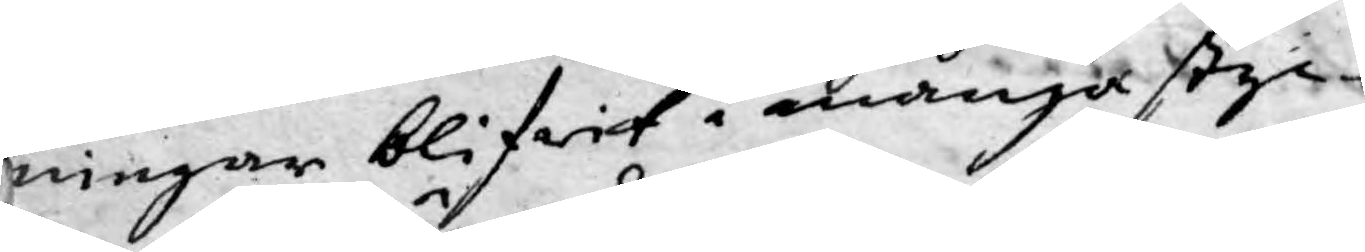ningar blifwit i många styc¬
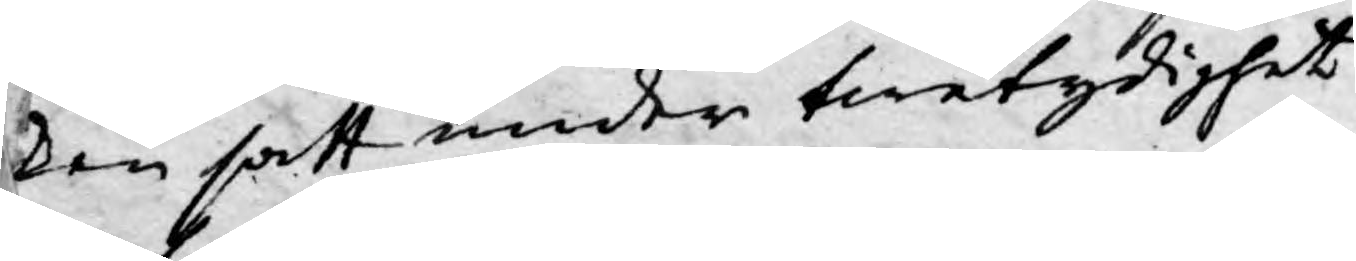ken satt under twetydighet
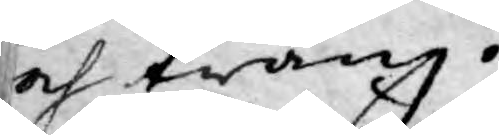och twång.
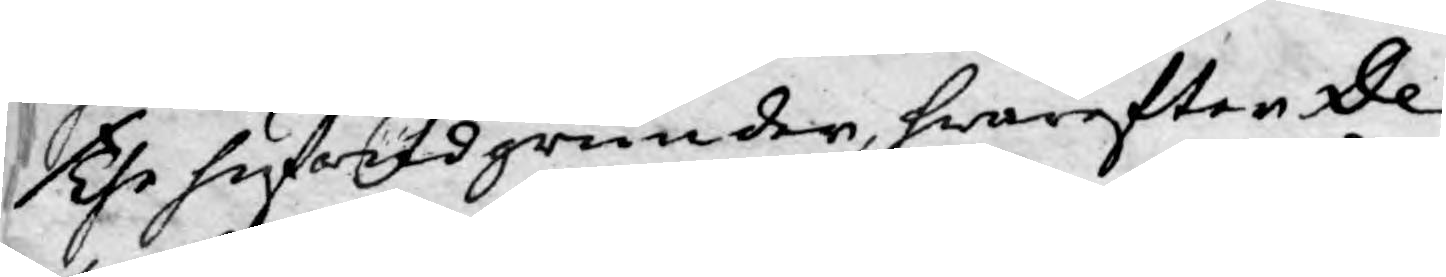The hufwudgrunder, hwarefter De¬
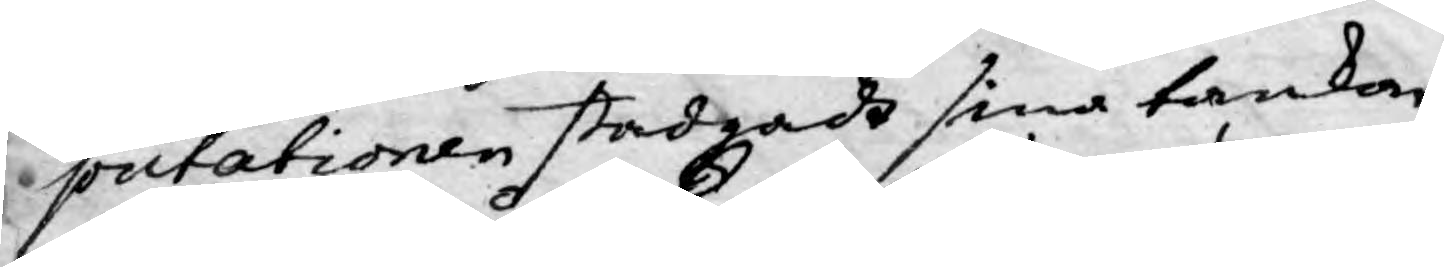putationen stadgadt sina tankar
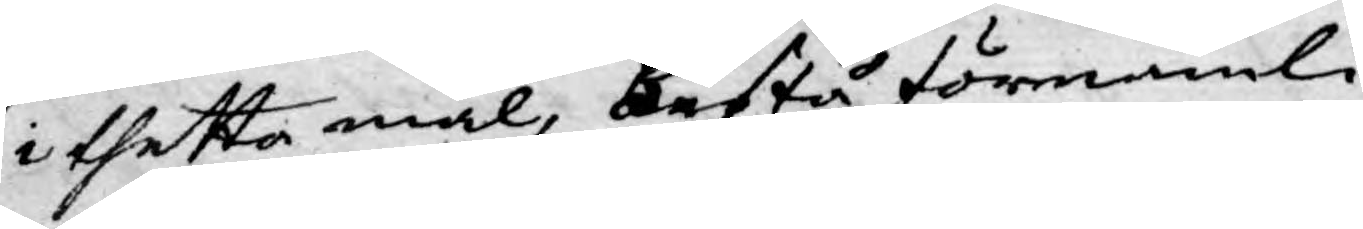i thetta mål, bestå förnämli¬
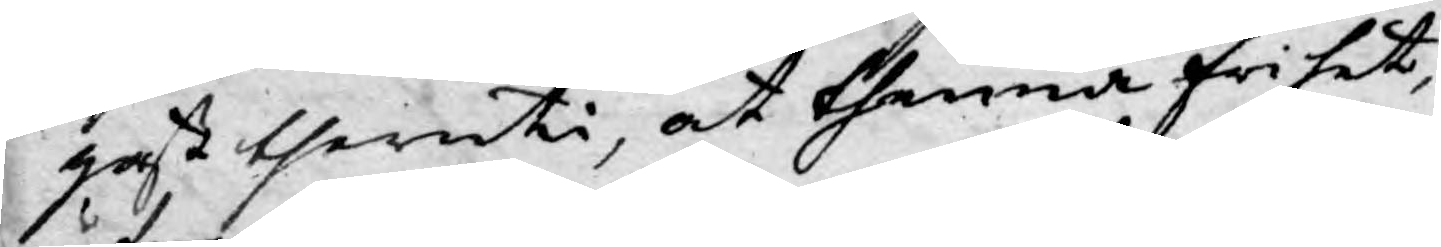gast theruti, at thenna frihet,
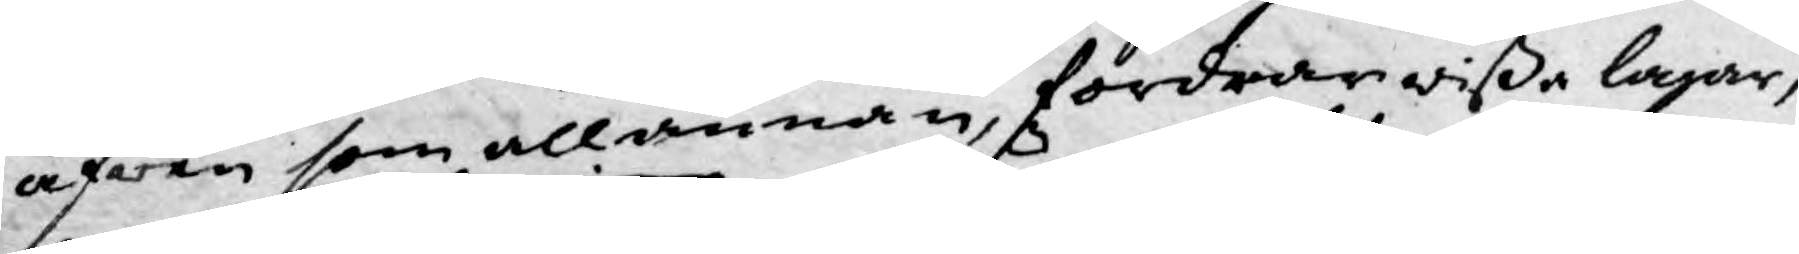äfwen som allannan, fordrar wißa lagar,
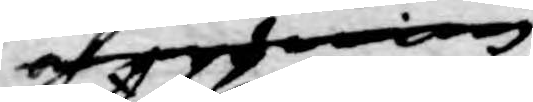och ordning 
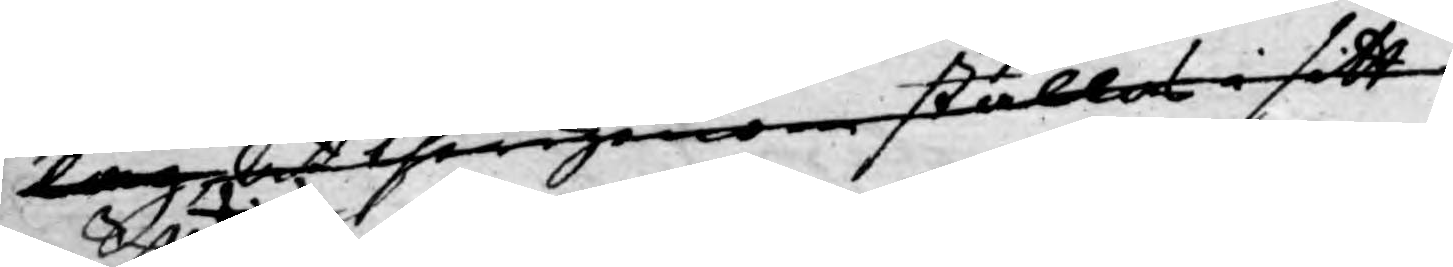lag att therigenom ställas i sitt
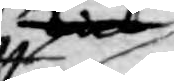dock
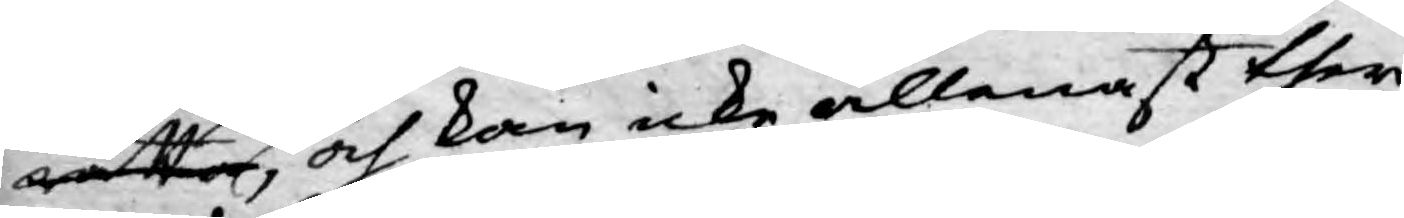rätta, och kan icke allenast ther
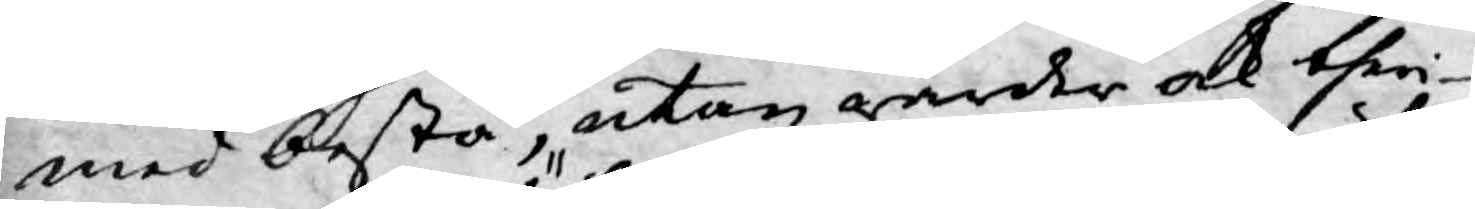med bestå, utan warder ock theri¬
